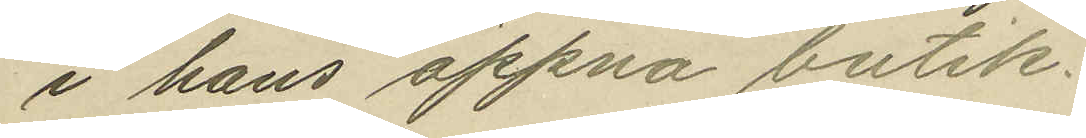i hans öppna butik.
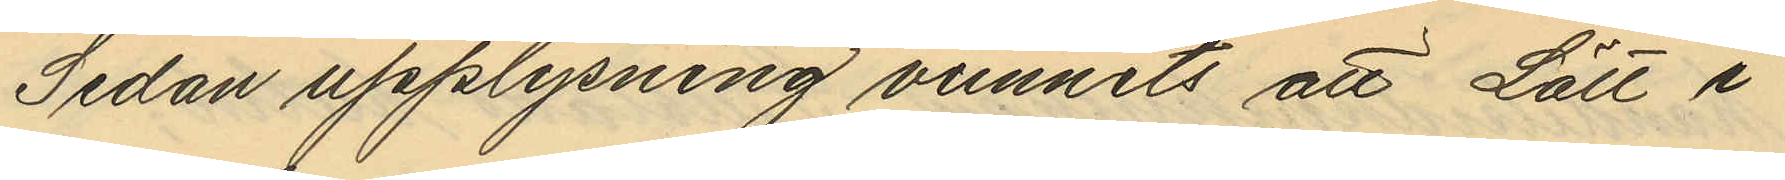Sedan upplysning vunnits att Lätt i
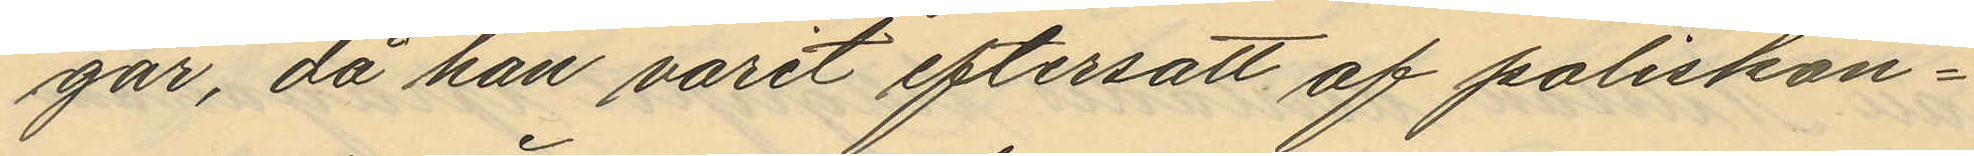går, då han varit eftersatt af poliskon¬
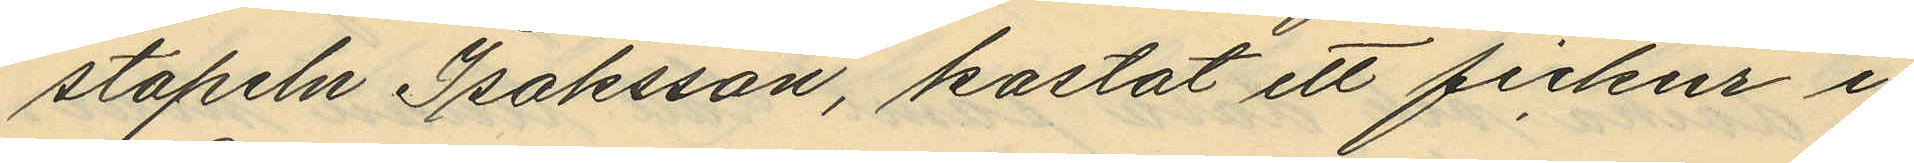stapeln Isaksson, kastat ett fickur i
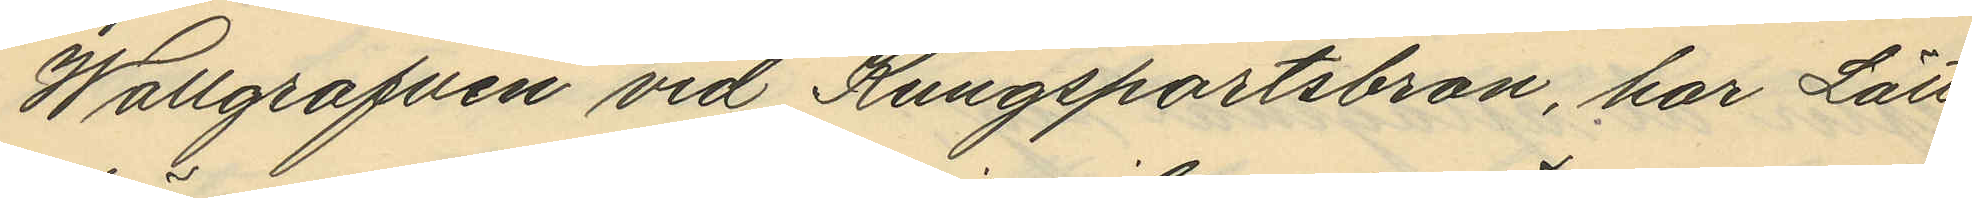Wallgraven vid Kungsportsbron, har Lätt
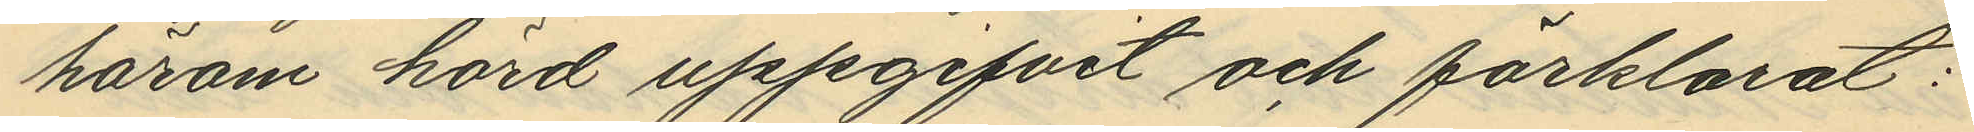härom hörd uppgifvit och förklarat:
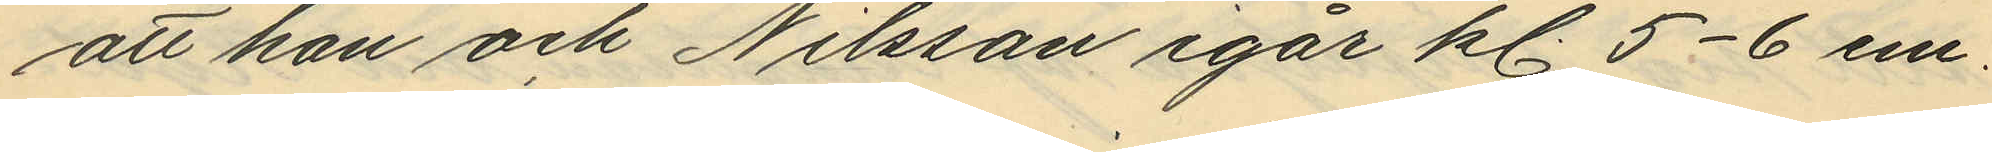att han och Nilsson igår kl. 5-6 em.
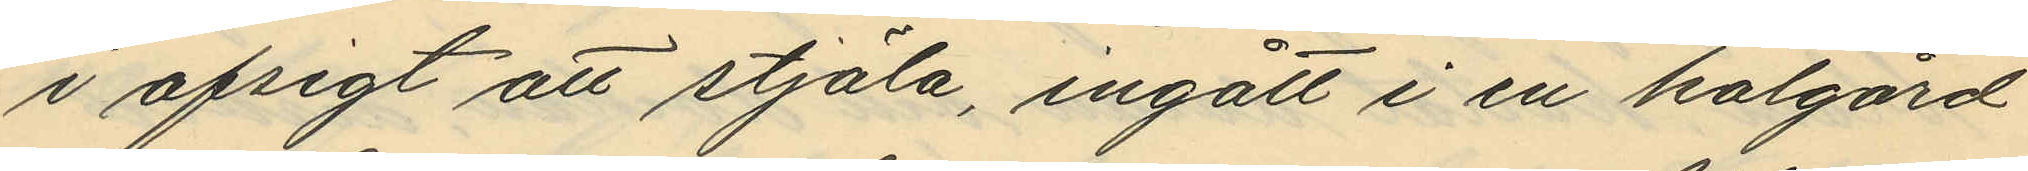i afsigt att stjäla, ingått i en kolgård
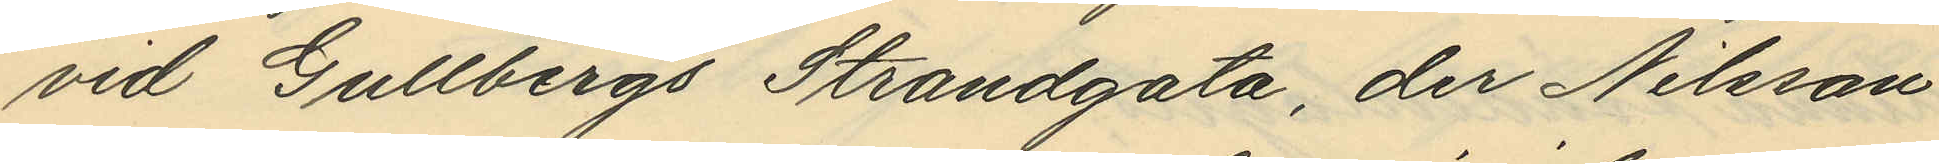vid Gullbergs Strandgata, der Nilsson
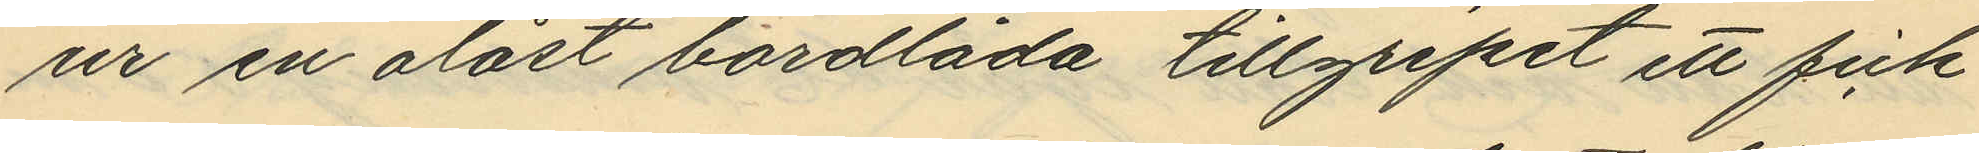ur en olåst bordlåda tillgripit ett fick¬
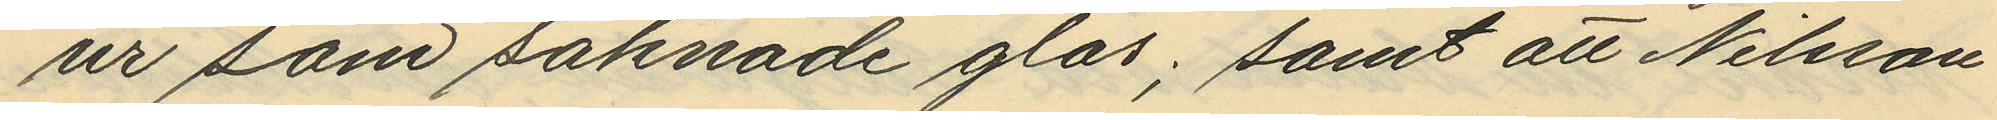ur som saknade glas; samt att Nilsson
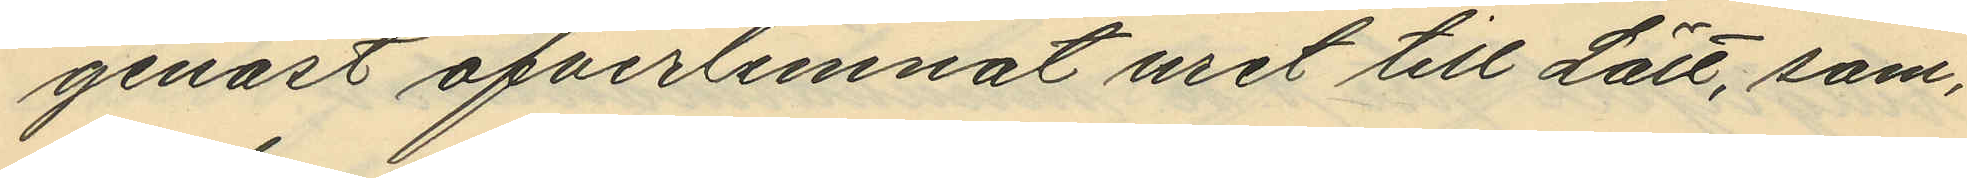genast öfverlemnat uret till Lätt, som,
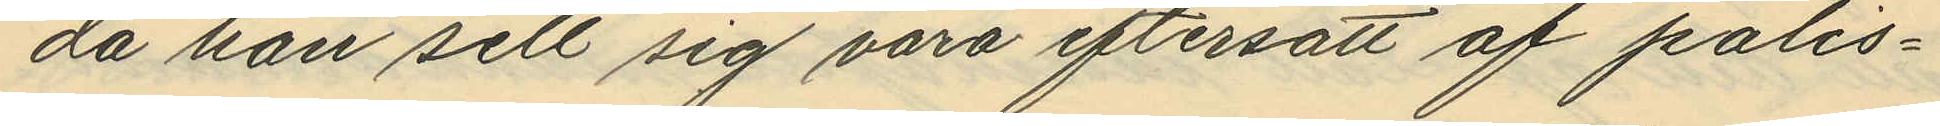då han sett sig vara eftersatt af polis¬
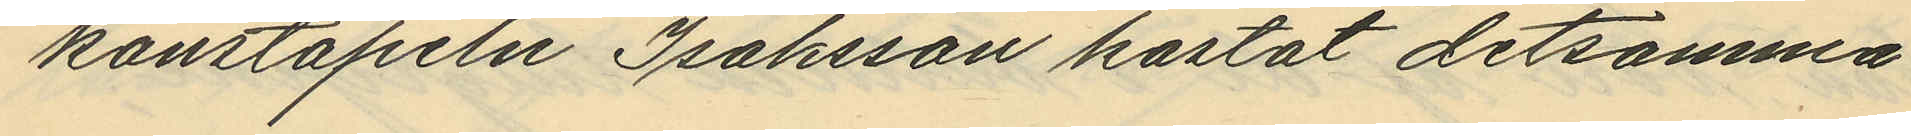konstapeln Isaksson kastat detsamma
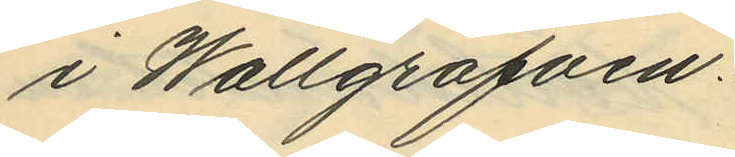i Wallgrafven.
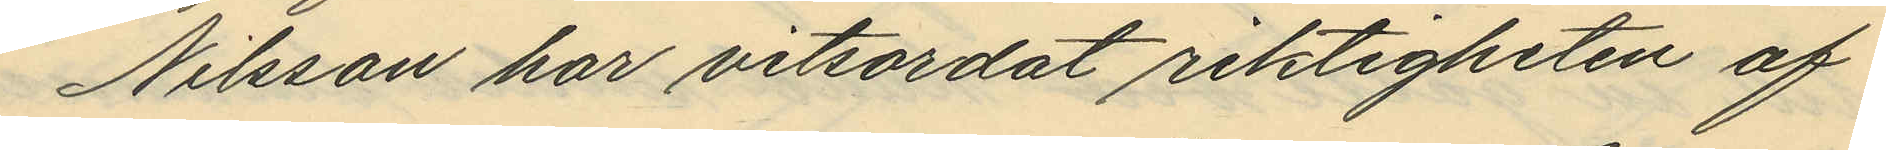Nilsson har vitsordat riktigheten af
